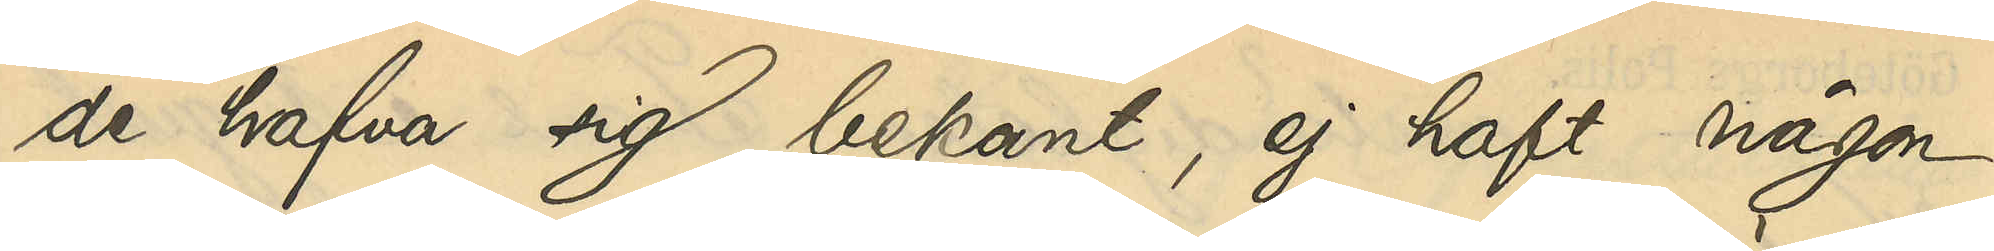de hafva sig bekant, ej haft någon
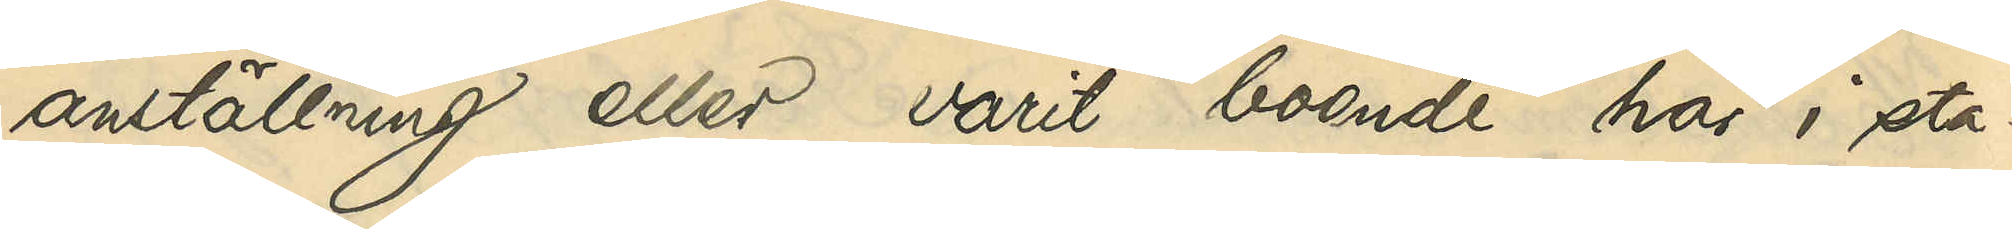anställning eller varit boende här i sta¬
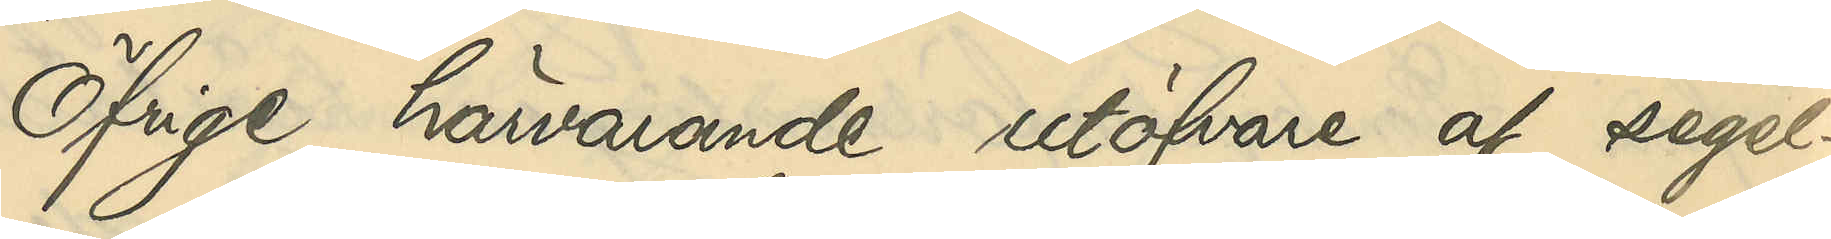Öfrige härvarande utöfvare af segel¬
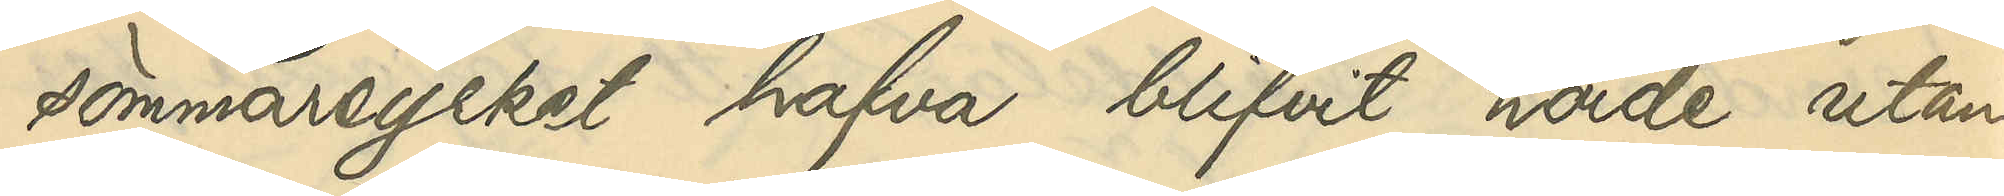sömmareyrket hafva blifvit hörde utan
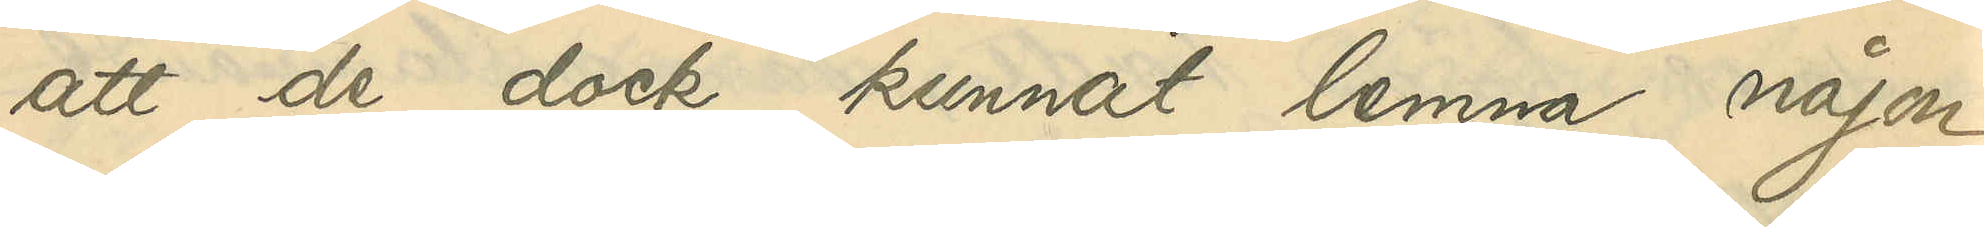att de dock kunnat lemna någon
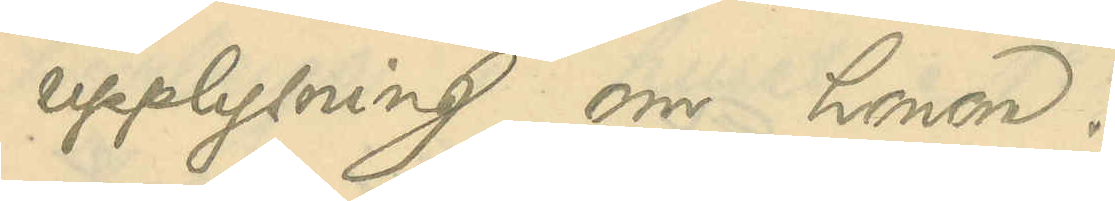upplysning om honom.
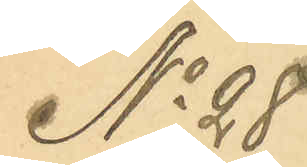No 28
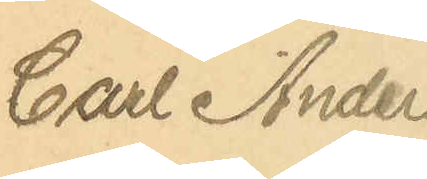Carl Anders¬
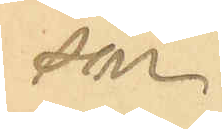son.
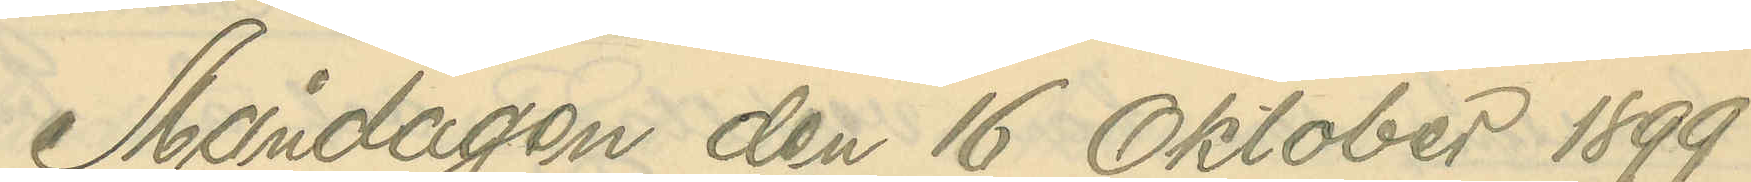Måndagen den 16 Oktober 1899
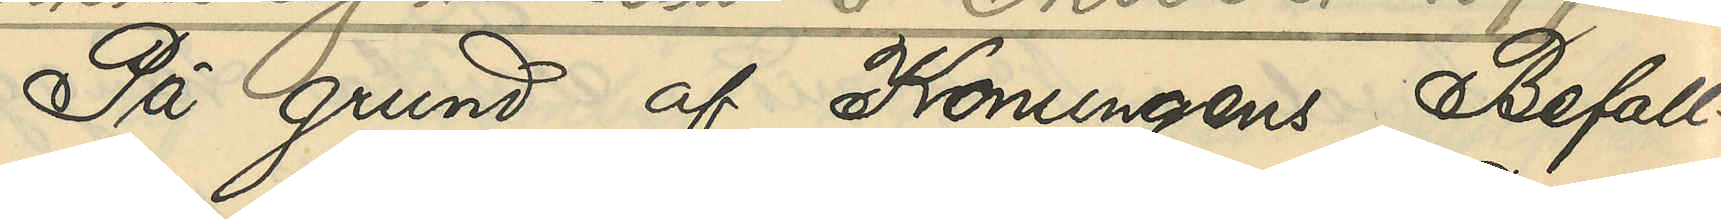På grund af Konungens Befall¬
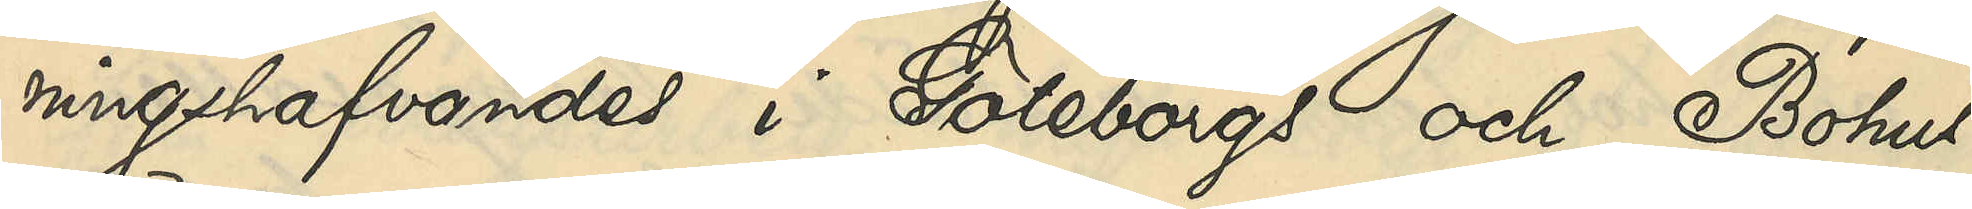ningshafvandes i Göteborgs och Bohus
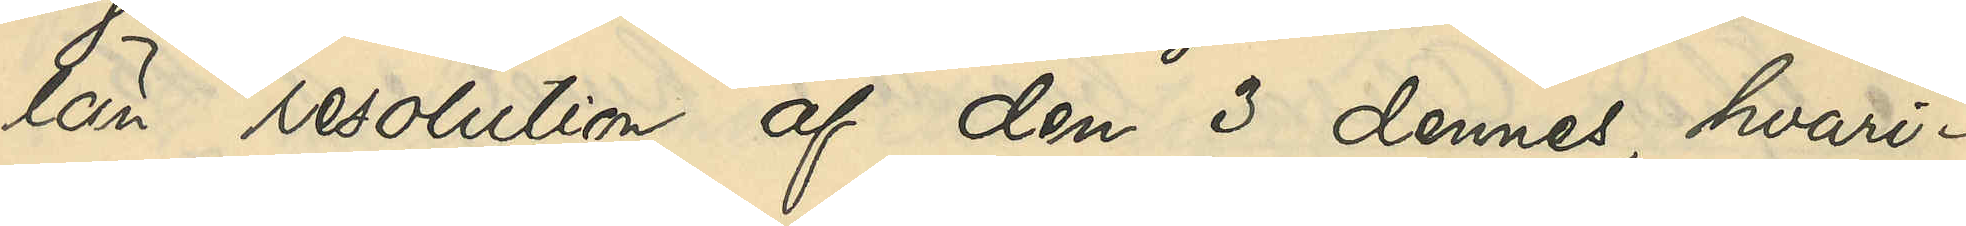län resolution af den 3 dennes, hvari¬
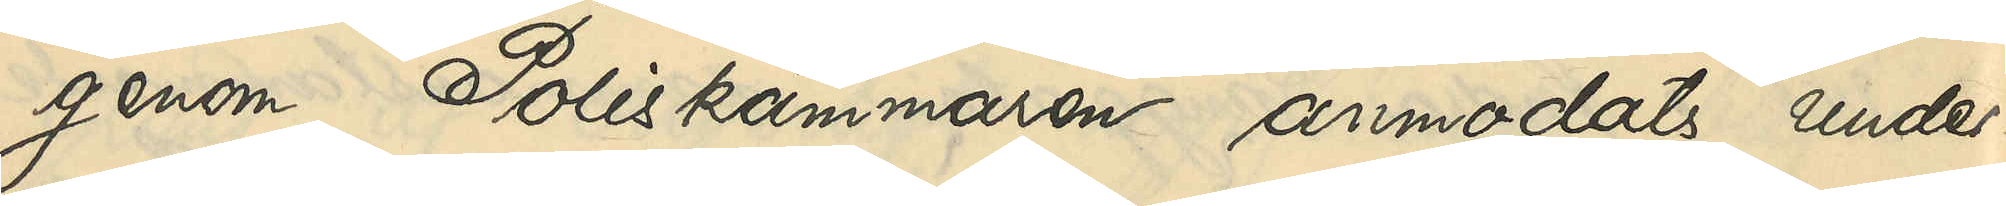genom Poliskammaren anmodats under¬
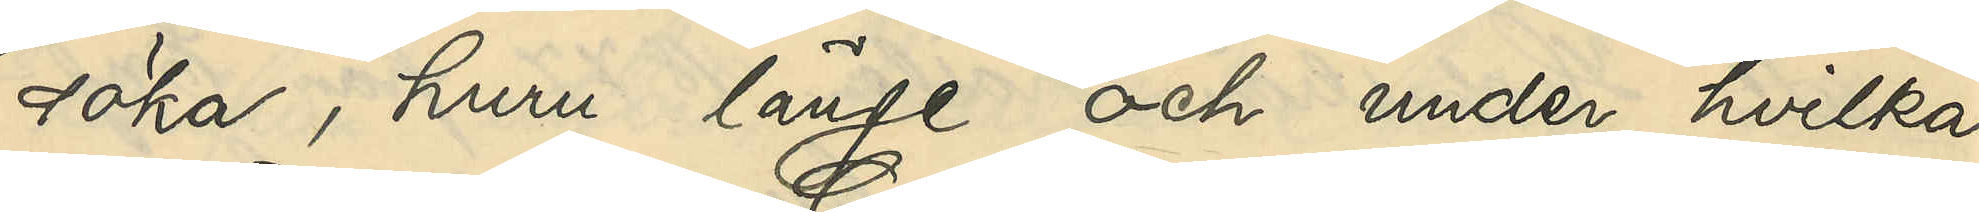söka, huru länge och under hvilka
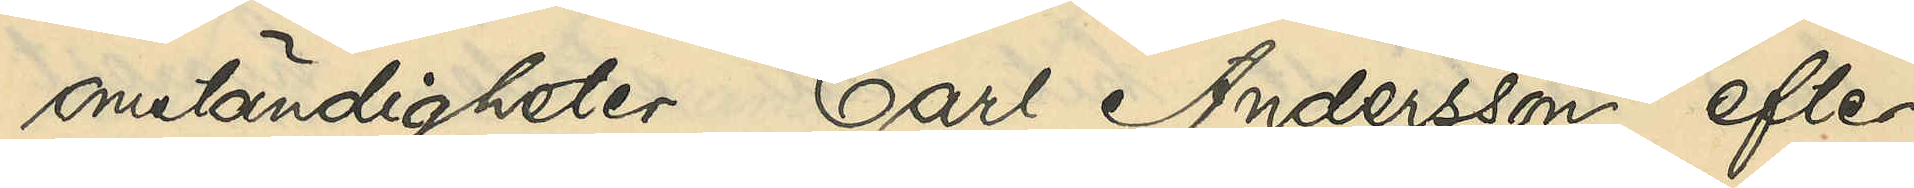omständigheter Carl Andersson efter
